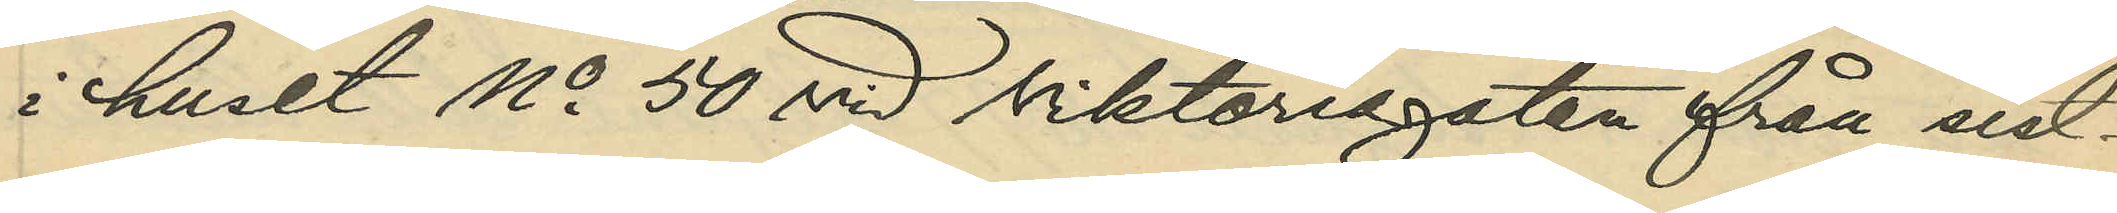i huset No 50 vid Viktoriagatan från sist¬
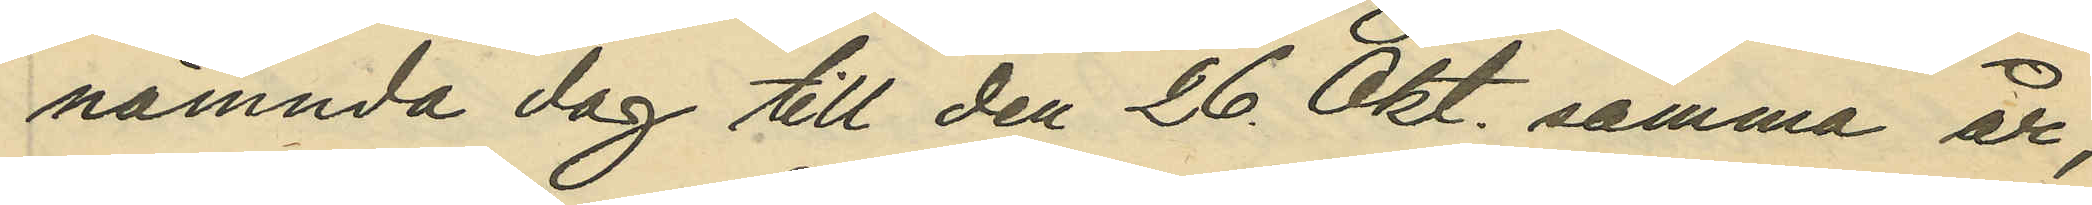nämnda dag till den 26 Okt. samma år;
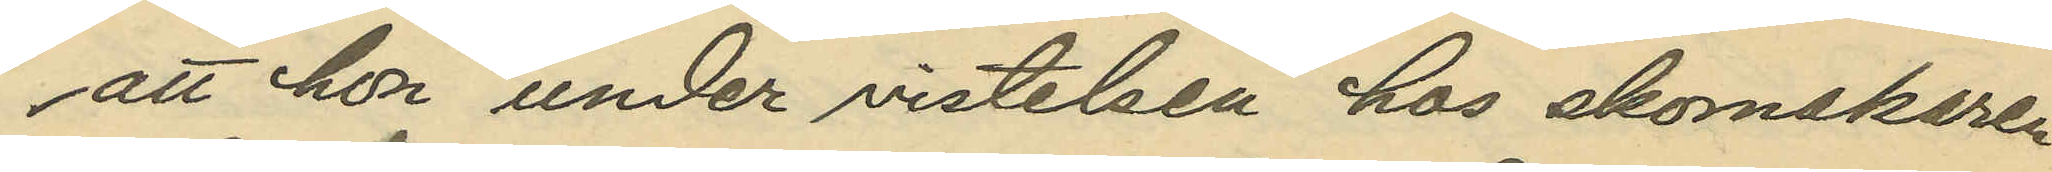att hon under vistelsen hos skomakaren
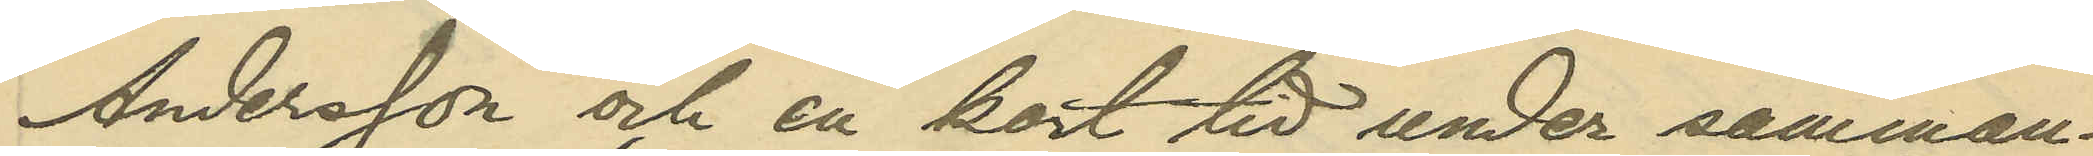Andersson och en kort tid under samman¬
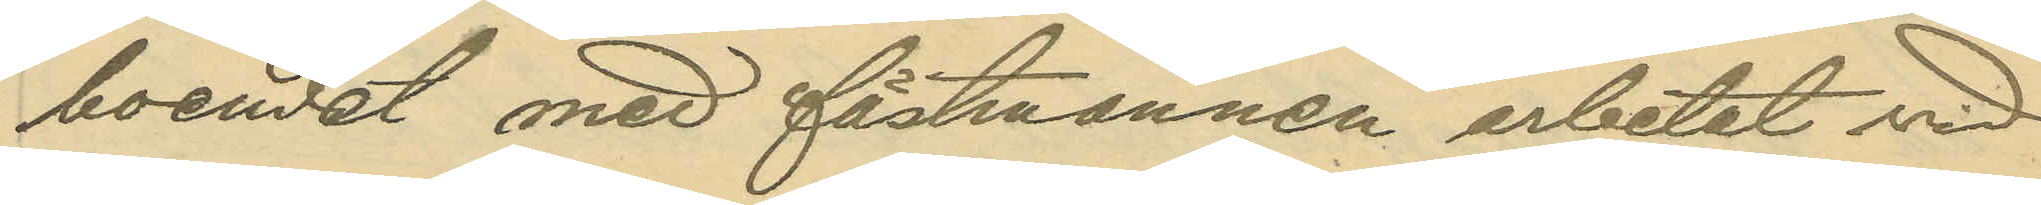boendet med fästmannen arbetat vid
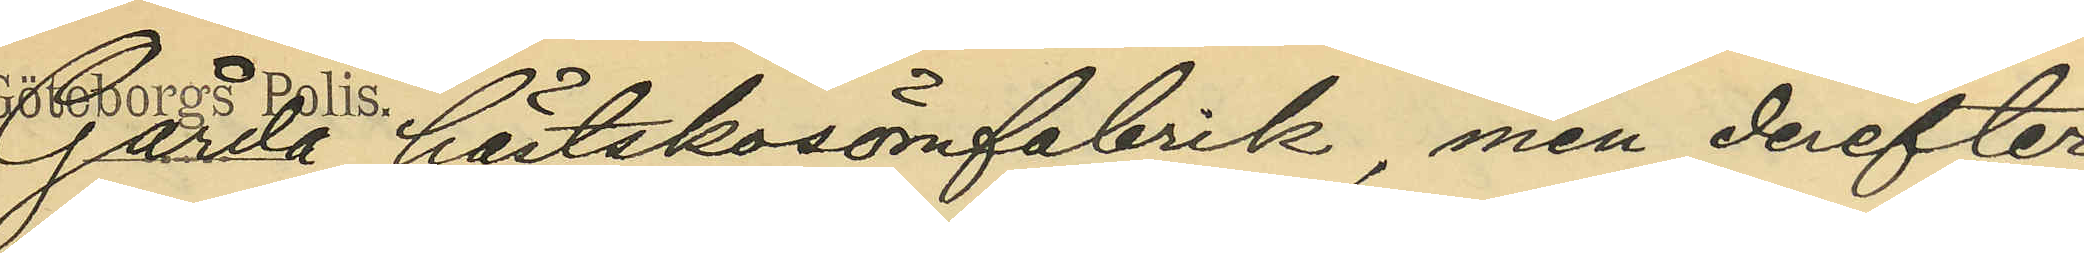Gårda hästskosömfabrik, men derefter
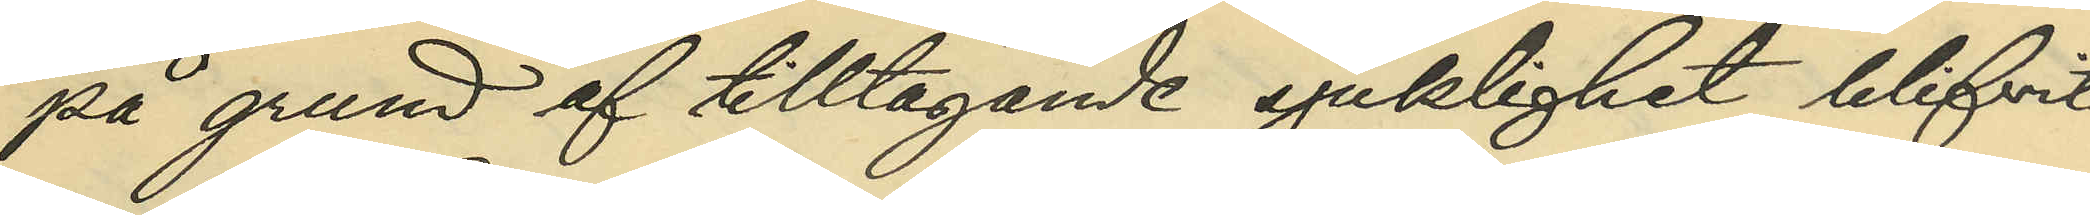på grund af tilltagande sjuklighet blifvit
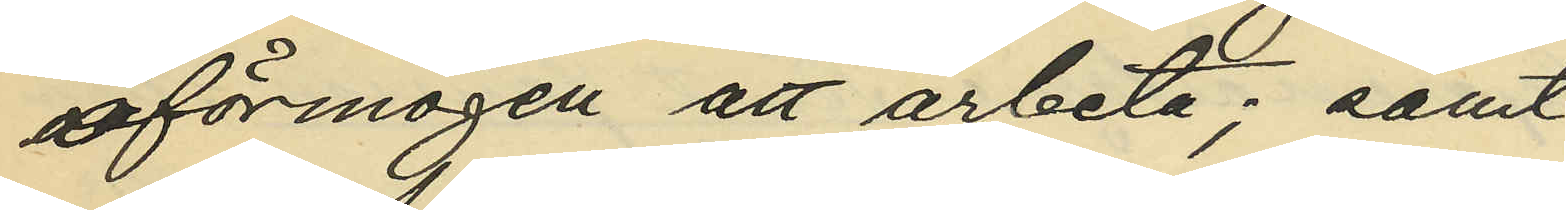oförmögen att arbeta; samt
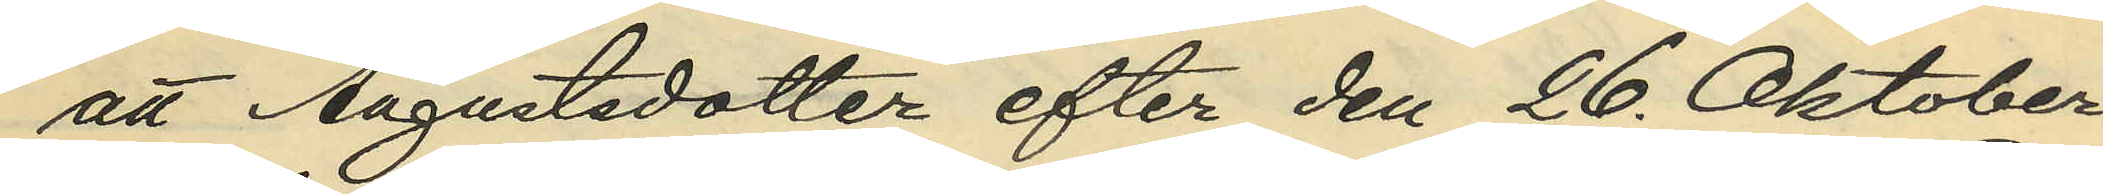att Augustdotter efter den 26. Oktober 
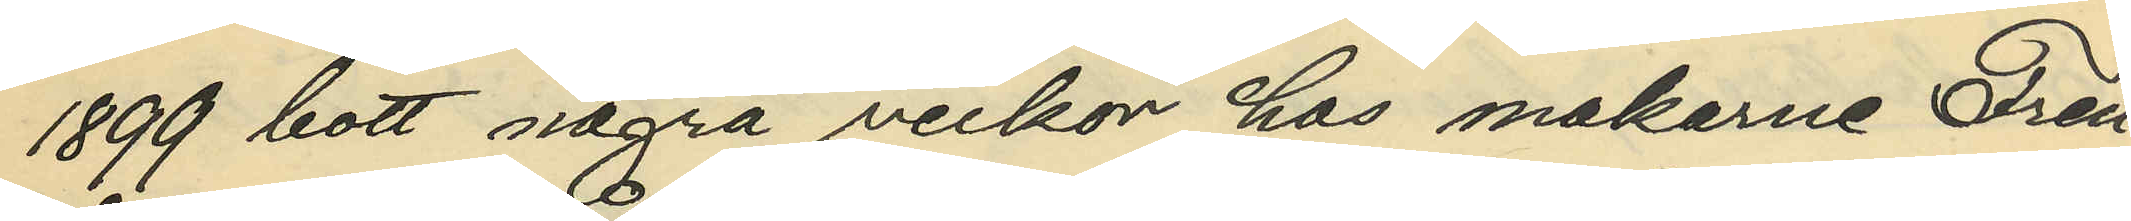1899 bott några veckor hos makarne Fren¬
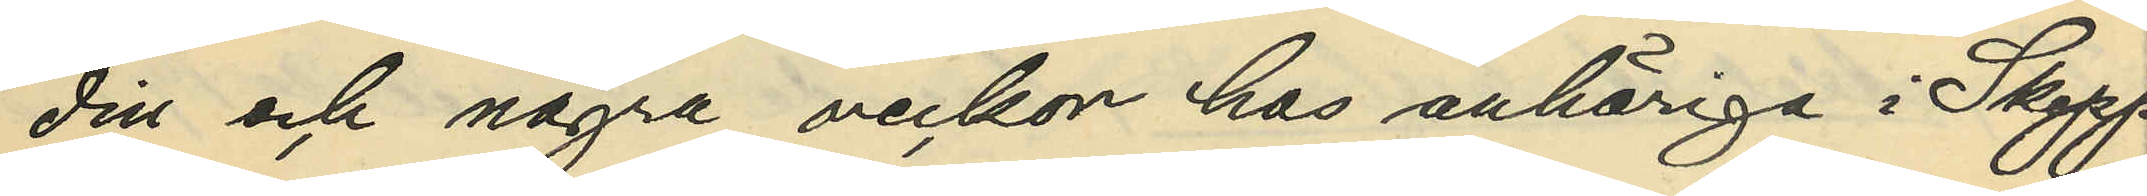din och några veckor hos anhöriga i Skepp¬
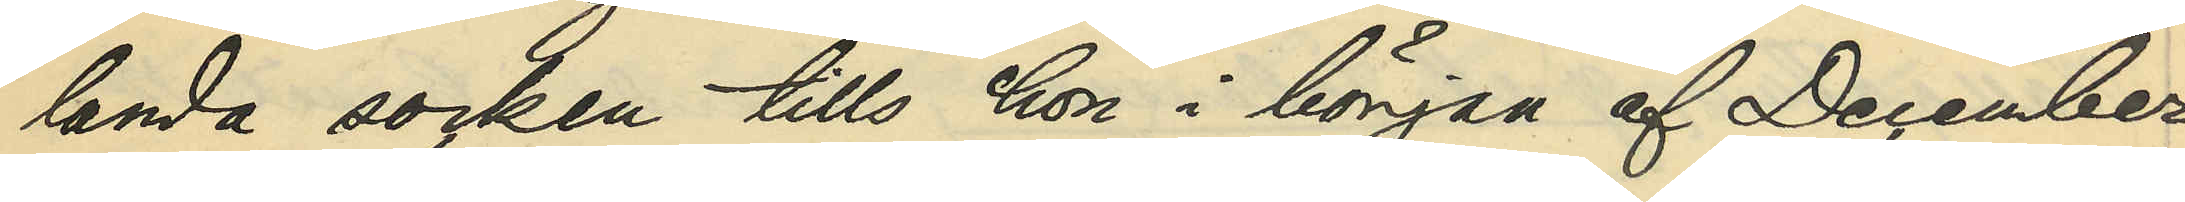landa socken tills hon i början af December
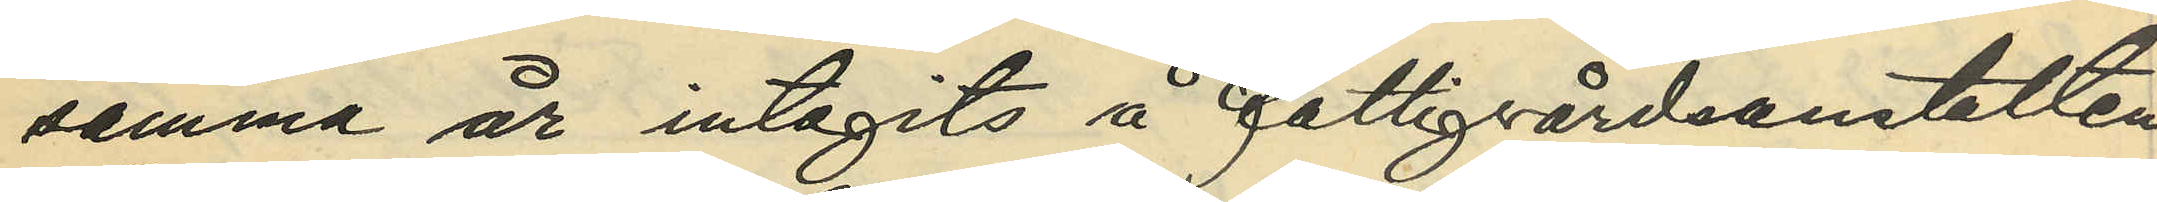samma år intagits å fattigvårdsanstalten
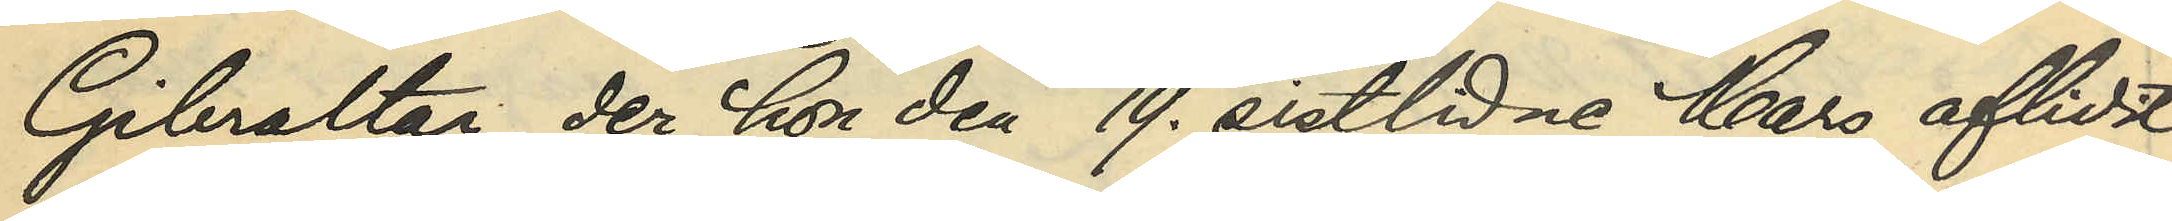Gibraltar, der hon 19. sistlidne Mars aflidit.
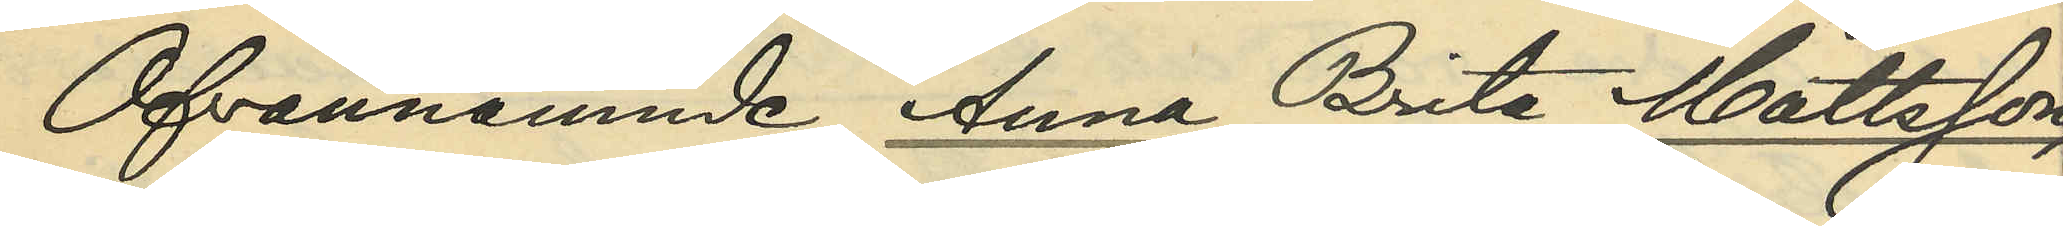Ofvannämnde Anna Britta Mattsson,
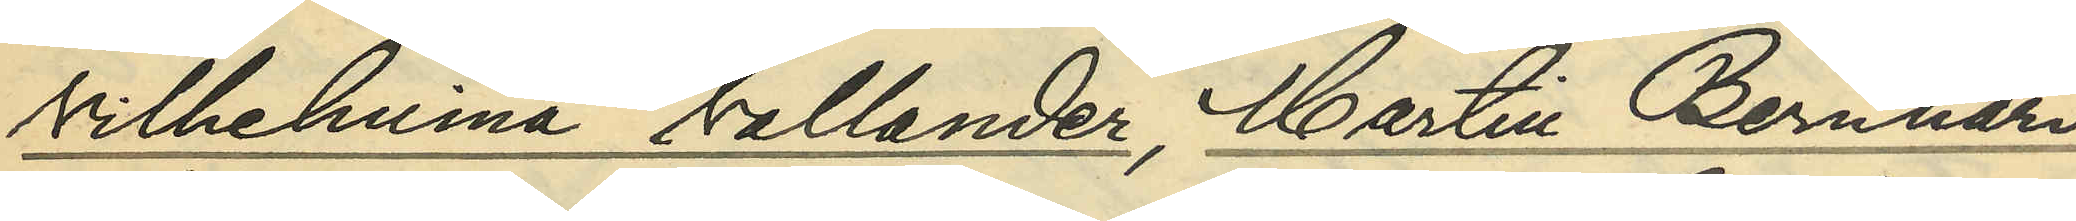Vilhelmina Vallander, Martin Bernhard
